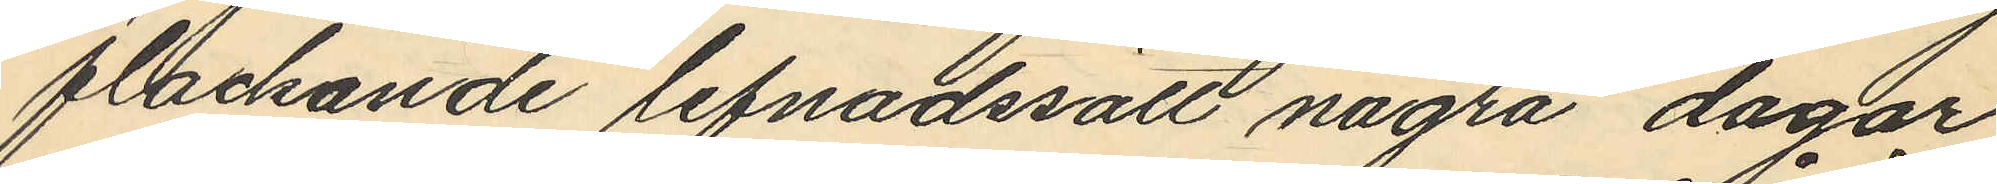flackande lefnadssätt några dagar
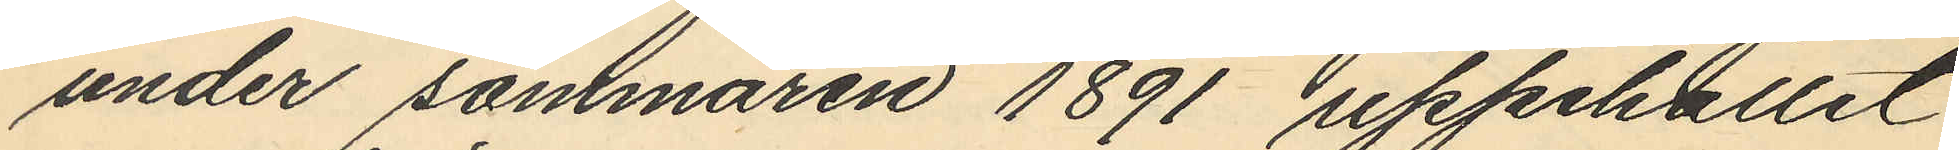under sommaren 1891 uppehållit
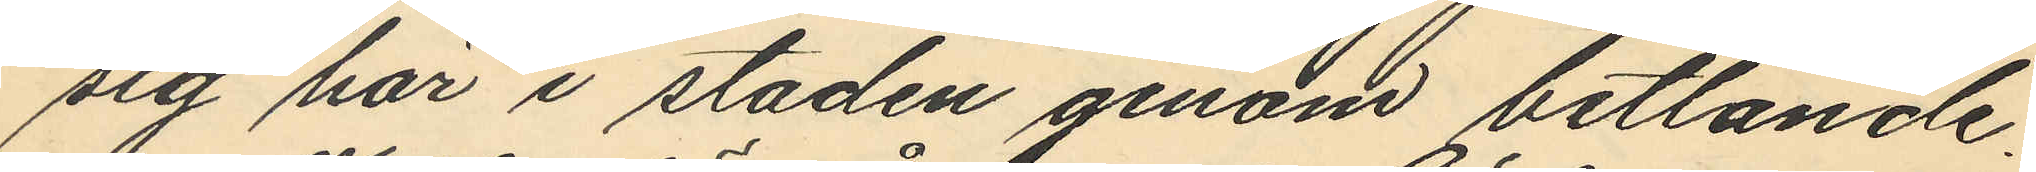sig här i staden genom betlande.
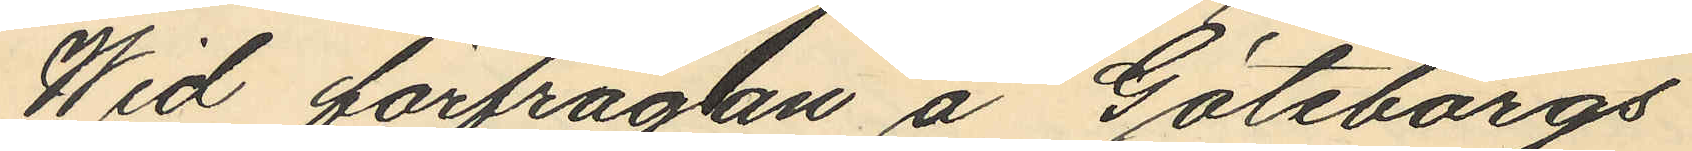Wid förfrågtan å Göteborgs
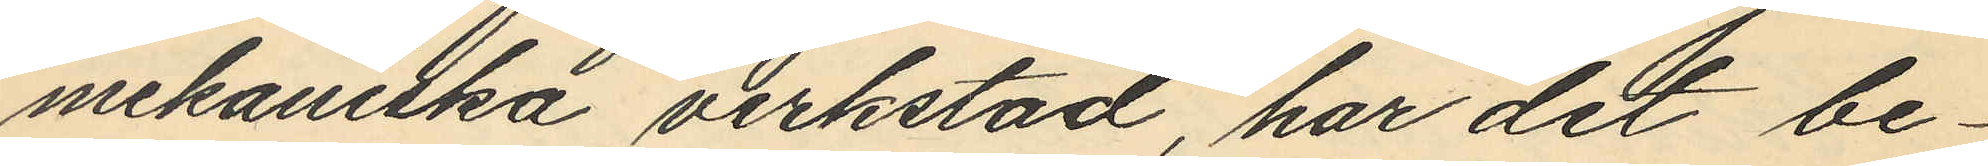mekaniska verkstad, har det be¬
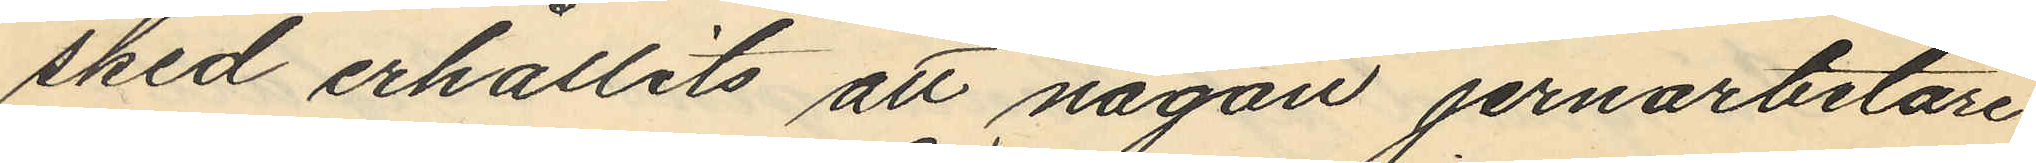sked erhållits att någon jernarbetare
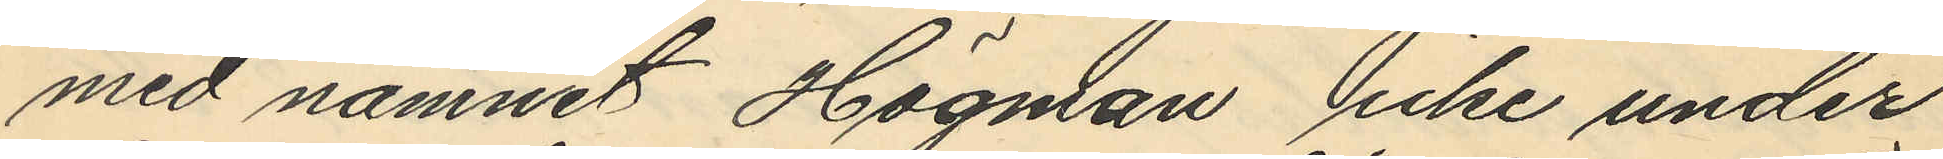med namnet Högman icke under
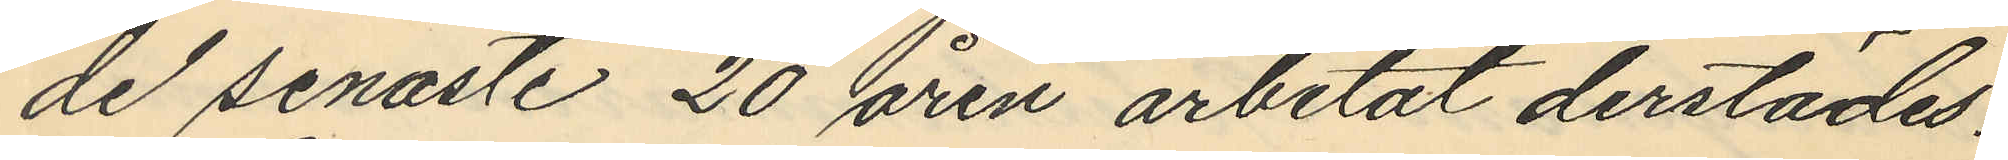de senaste 20 åren arbetat derstädes.
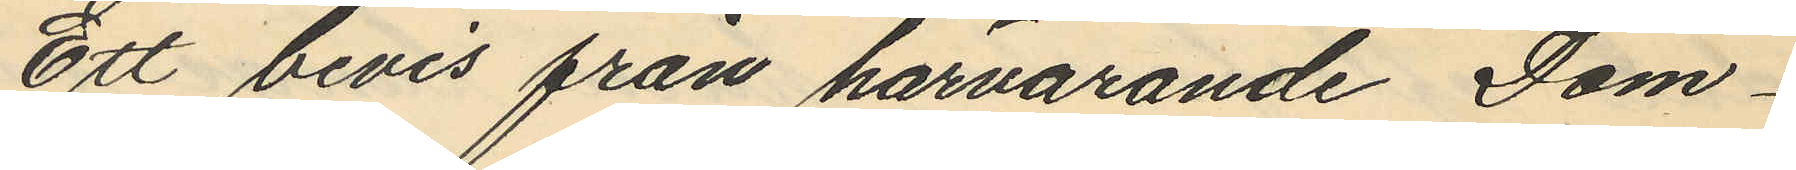Ett bevis från härvarande Dom¬
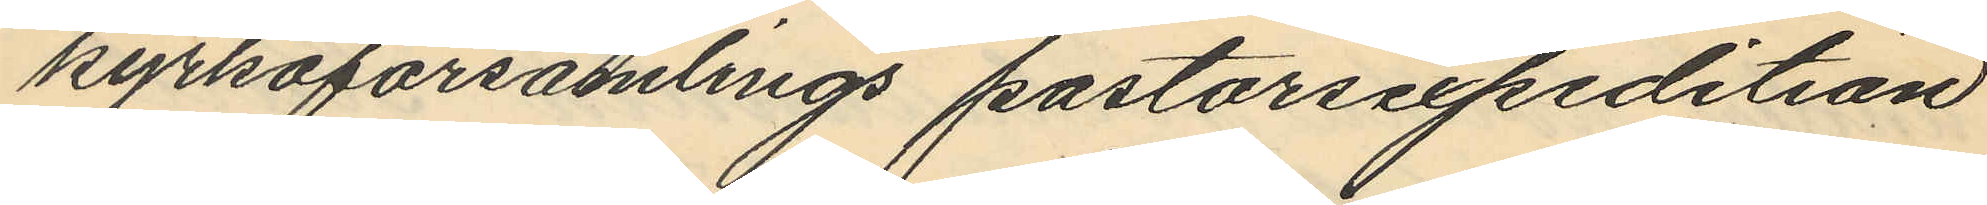kyrkoförsamlings pastorsexpedition
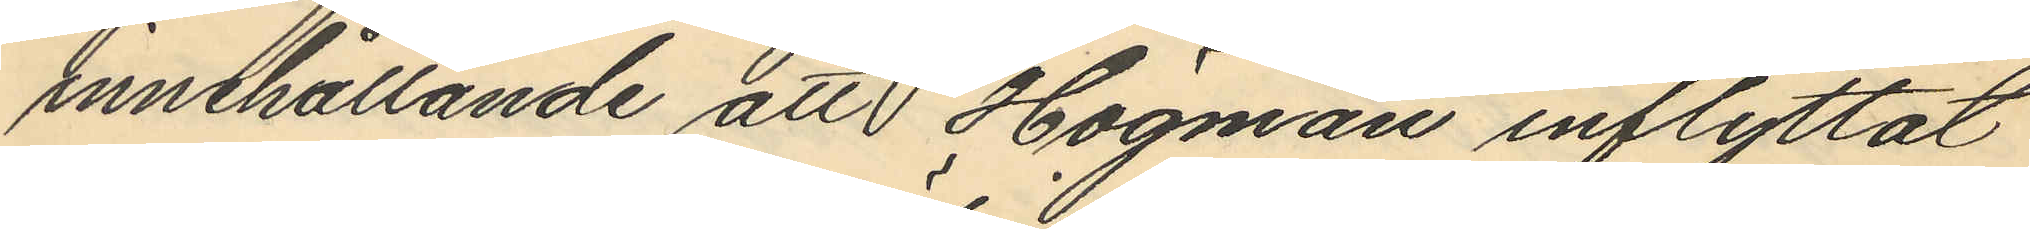innehållande att Högman inflyttat
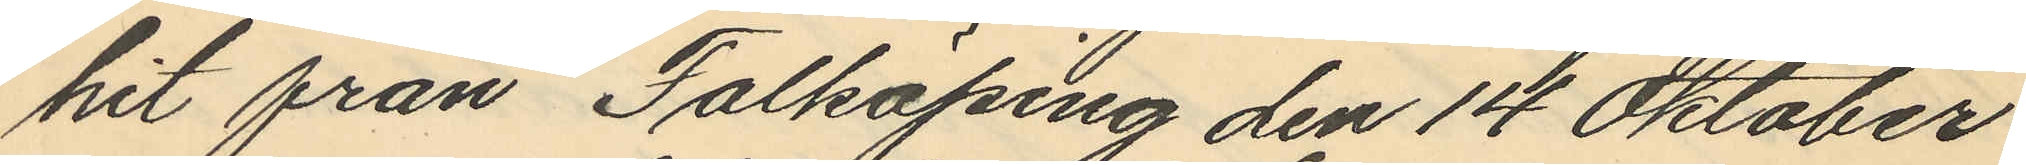hit från Falköping den 14 Oktober
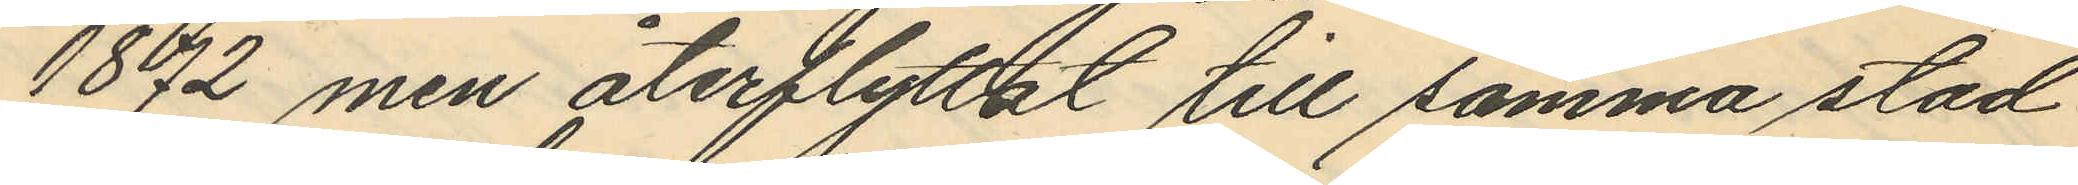1872 men återflyttat till samma stad
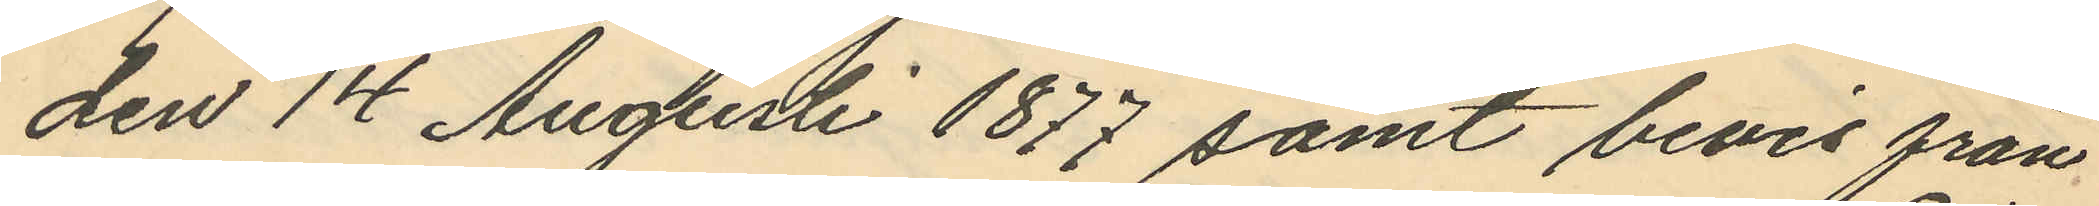den 14 Augusti 1877 samt bevis från
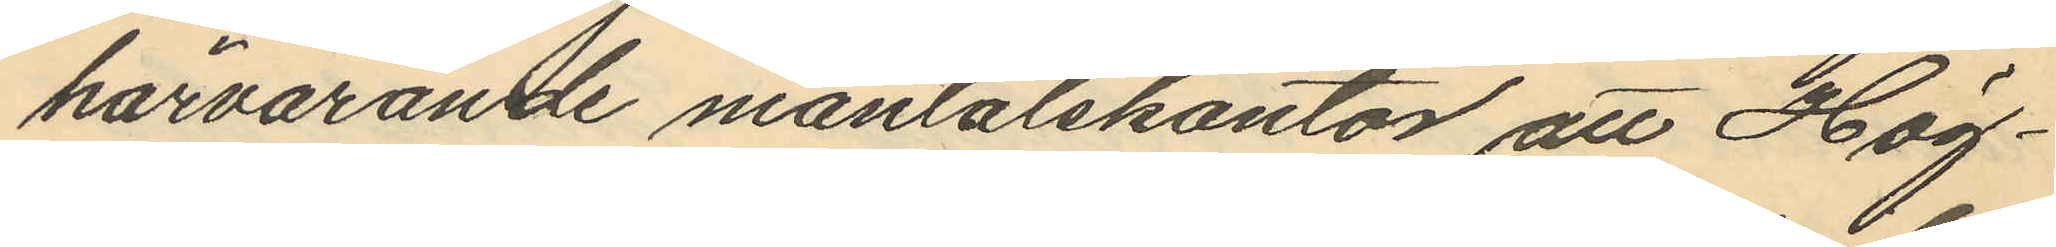härvarande mantalskontor att Hög¬
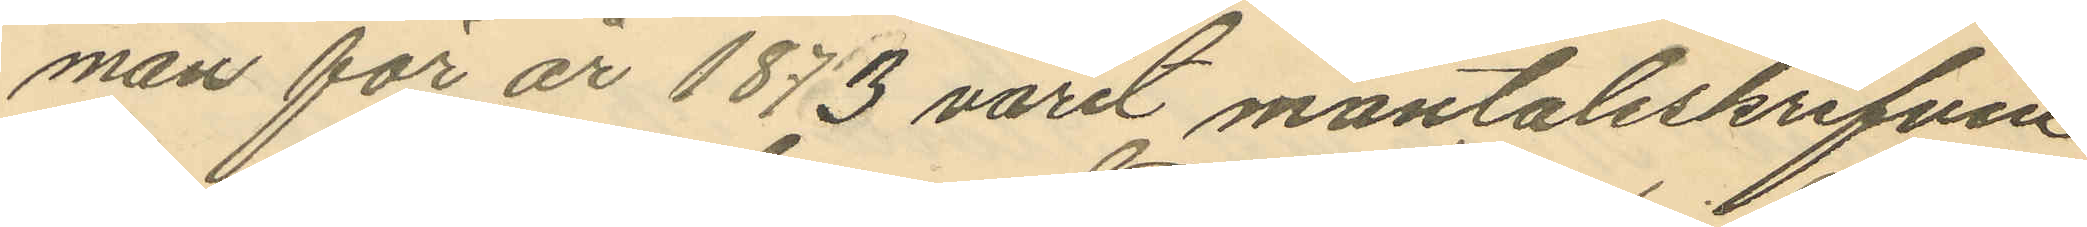man för år 1873 varit mantalsskrifven
